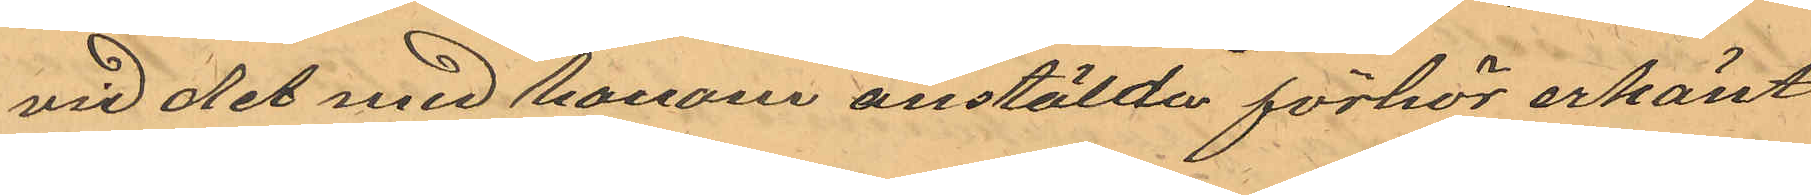vid det med honom anstälda förhör erkänt
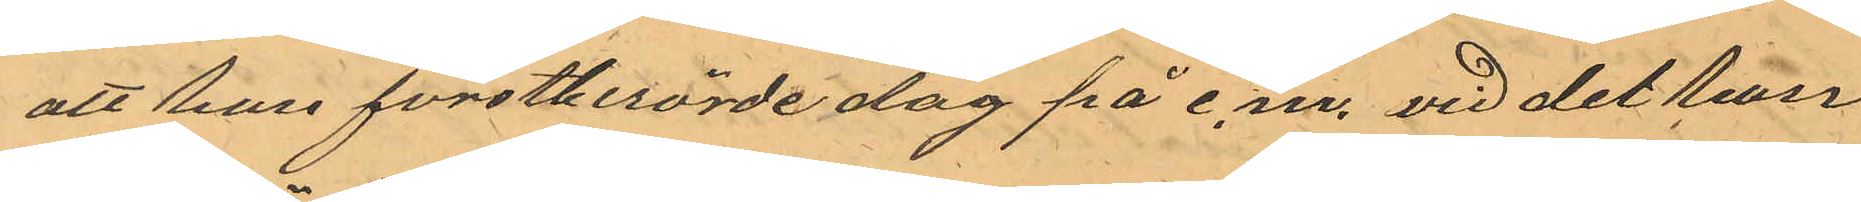att han förstberörde dag på e.m. vid det han
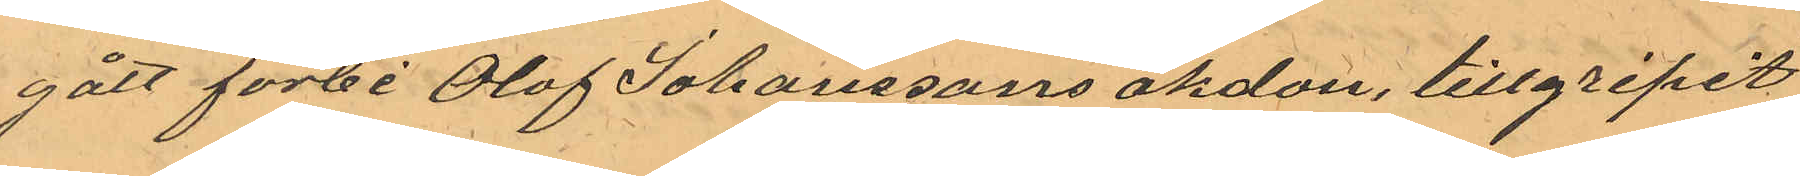gått förbi Olof Johanssons åkdon, tillgripit
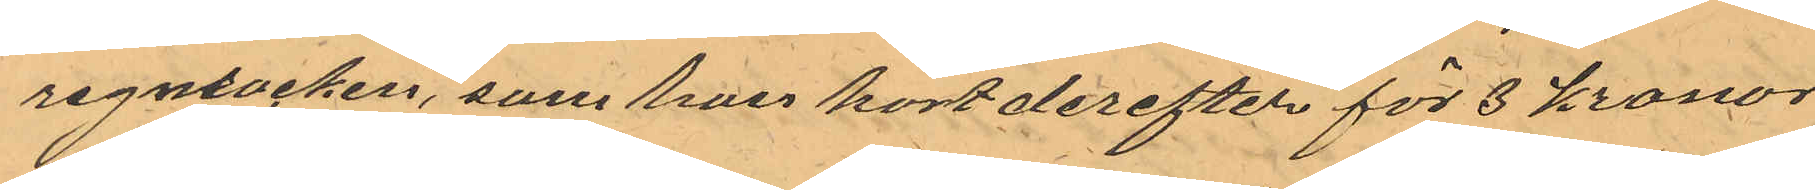regnrocken, som han kort derefter för 3 Kronor
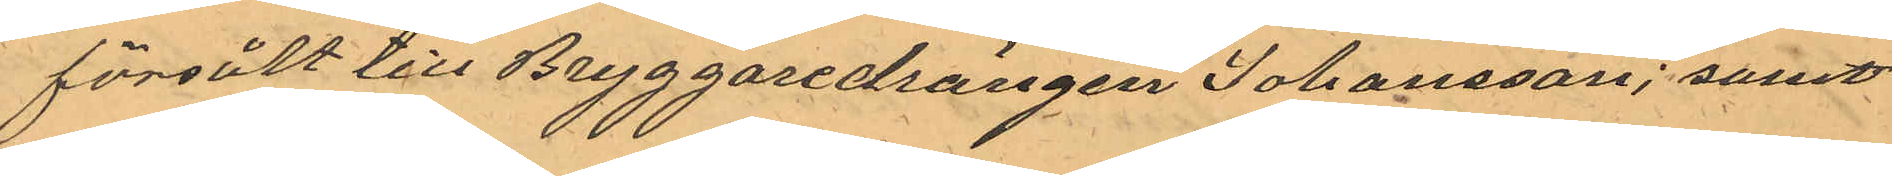försålt till Bryggaredrengen Johansson; samt
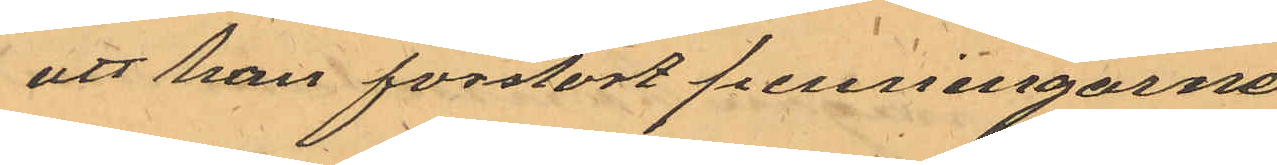att han förstört penningarne
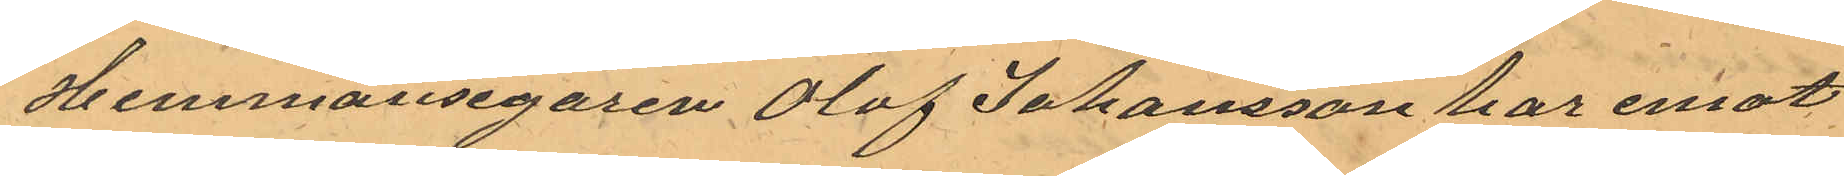Hemmansegaren Olof Johansson har emot
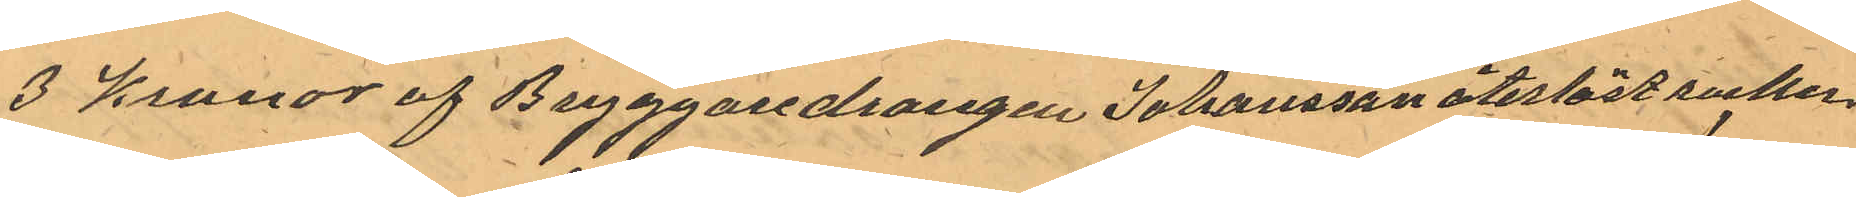3 kronor af Bryggaredrängen återlöst rocken.
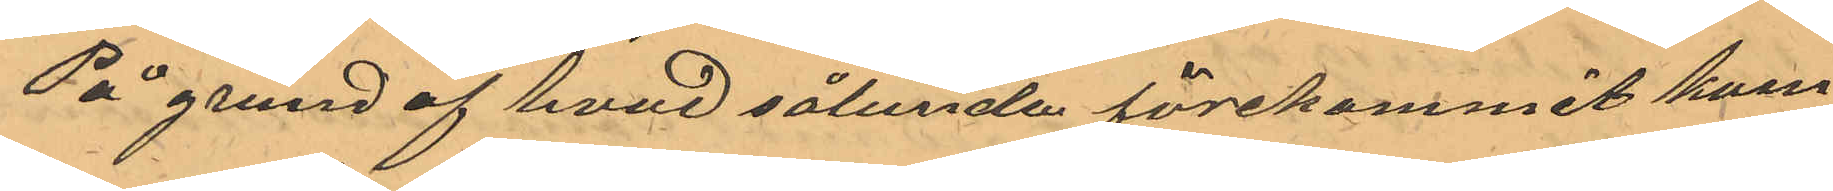På grund af hvad sålunda förekommit kom¬
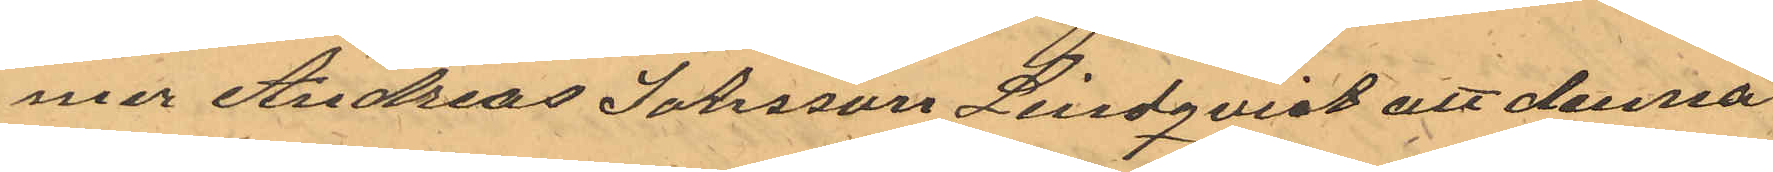mer Andreas Johsson Lindqvist att denna
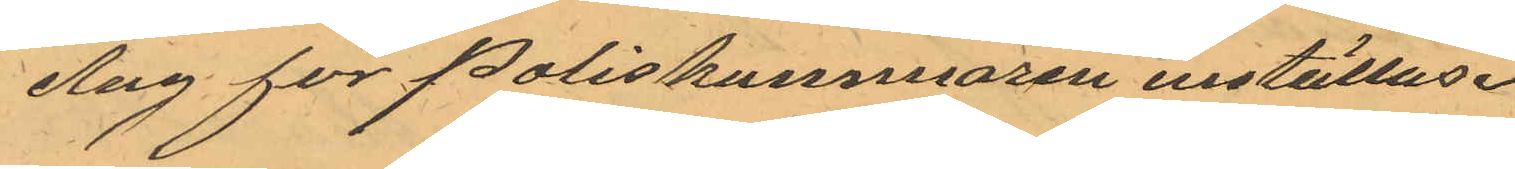dag för Poliskammaren inställas.
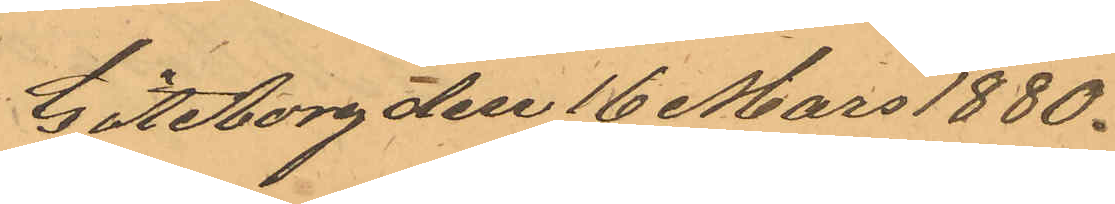Göteborg den 16 Mars 1880.
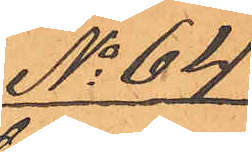No 64.
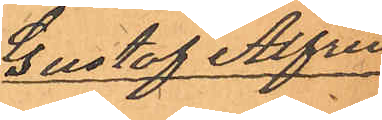Gustaf Alfred
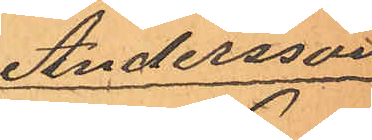Andersson
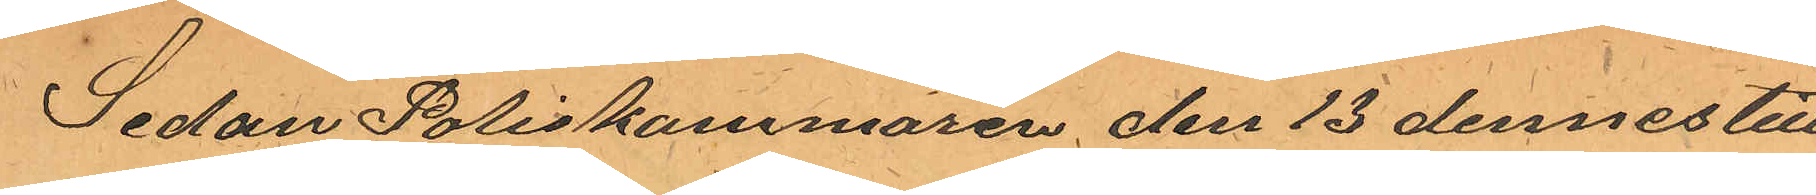Sedan Poliskammaren den 13 dennes till
